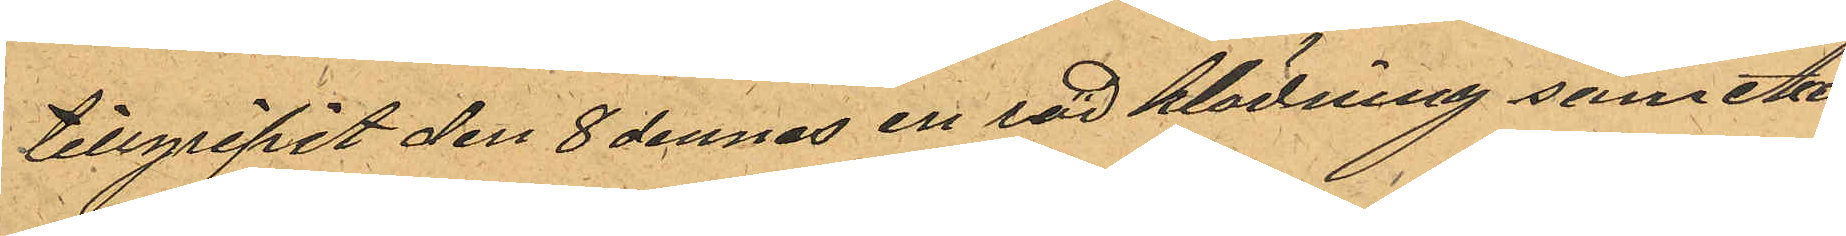tillgripit den 8 dennes en röd klädning som Axel
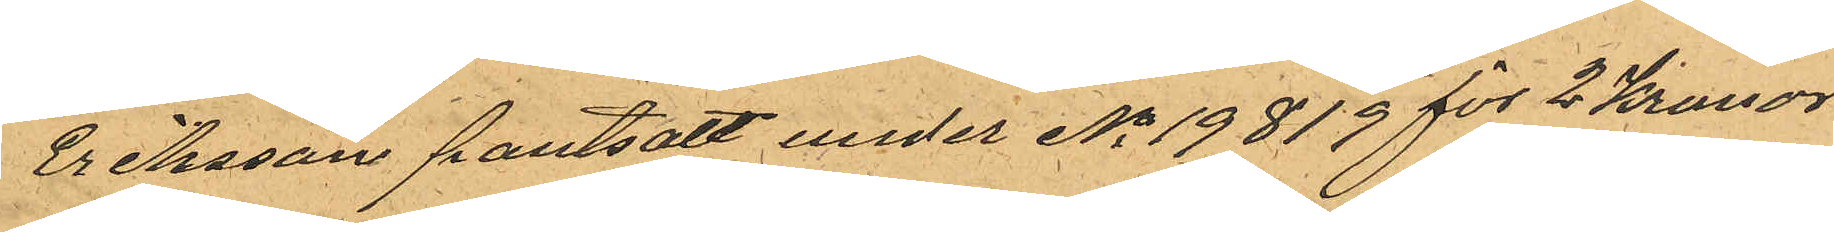Eriksson pantsatt under No 19819 för 2 Kronor.
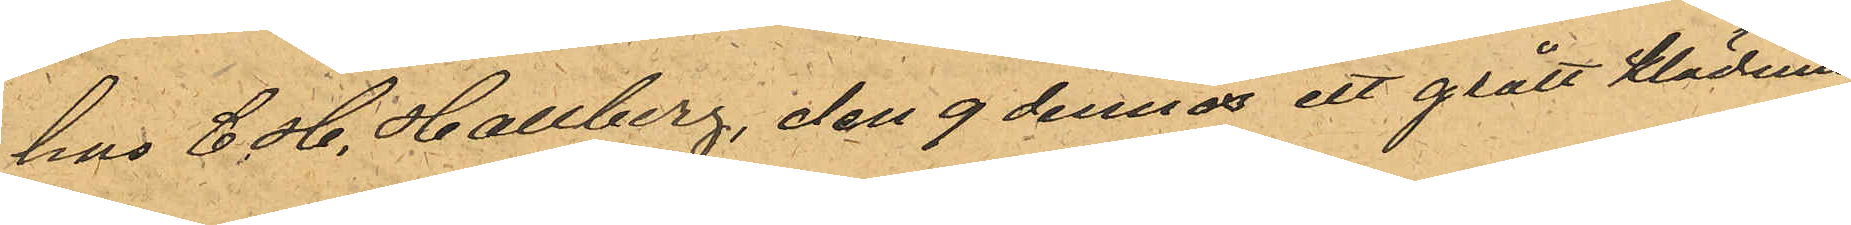hos C. H. Hallberg, den 9 dennes ett grått klädning
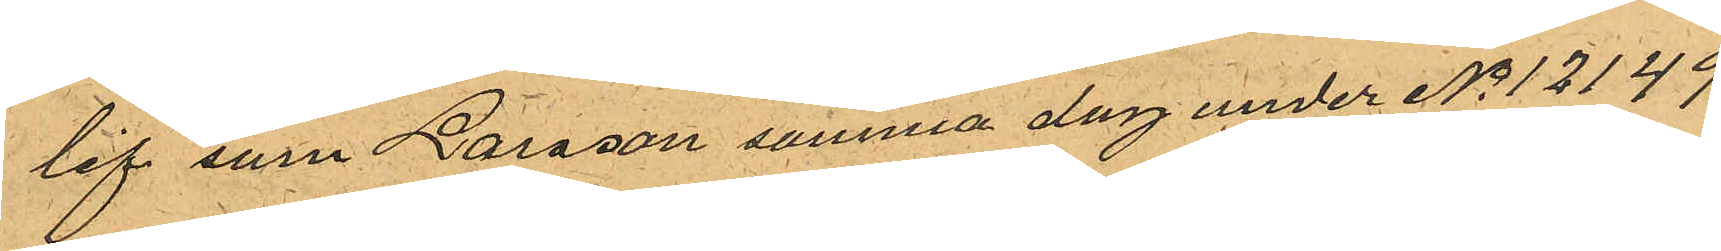lif som Larsson samma dag under No 12149
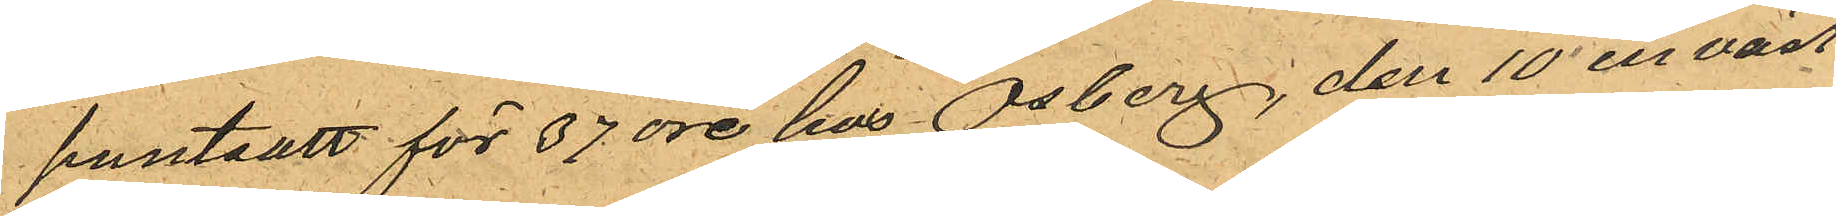pantsatt för 37 öre hos Osberg, den 10 en väst
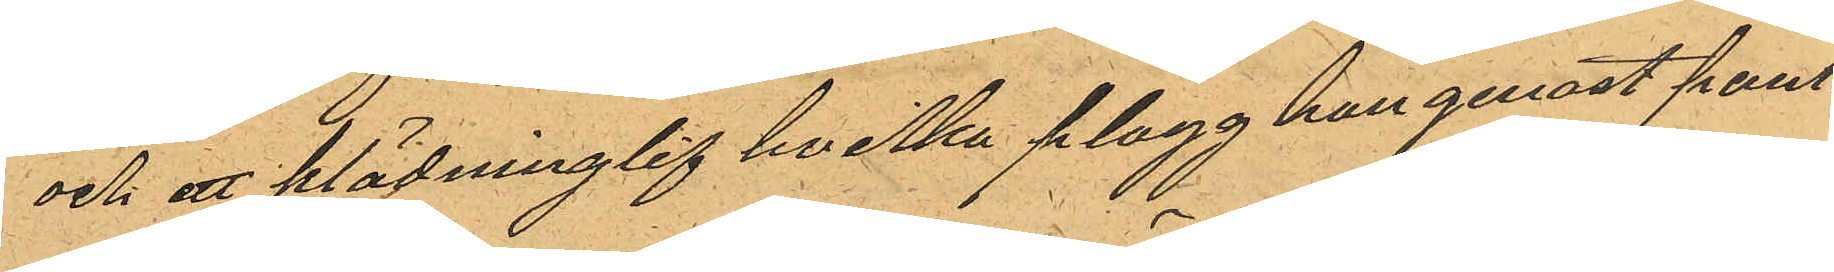och ett klädninglif hvilka plagg han genast pant¬
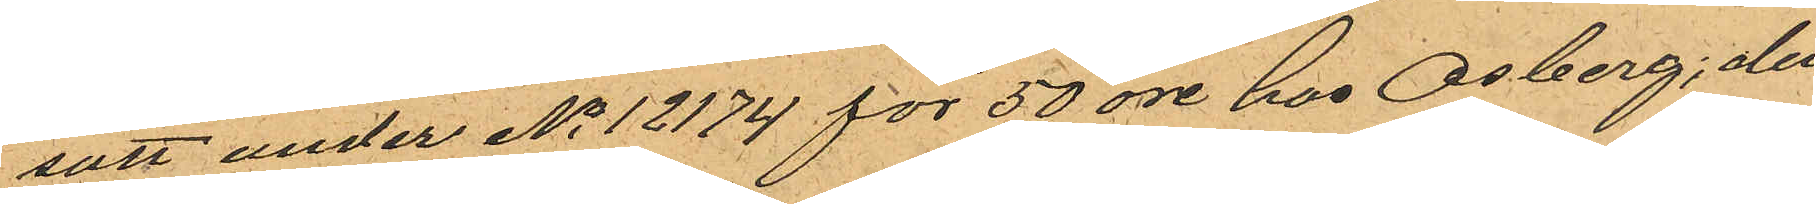satt under No 12174 för 50 öre hos Osberg, den
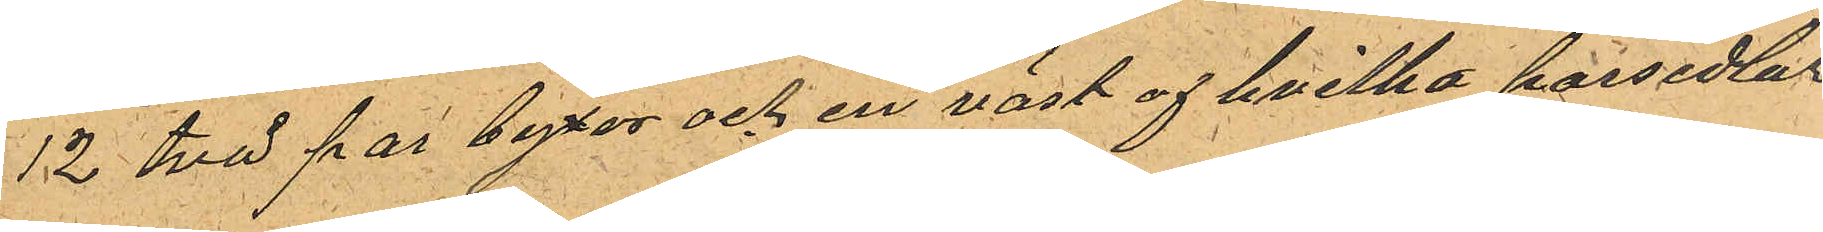12 två par byxor och en väst af hvilka persedlar
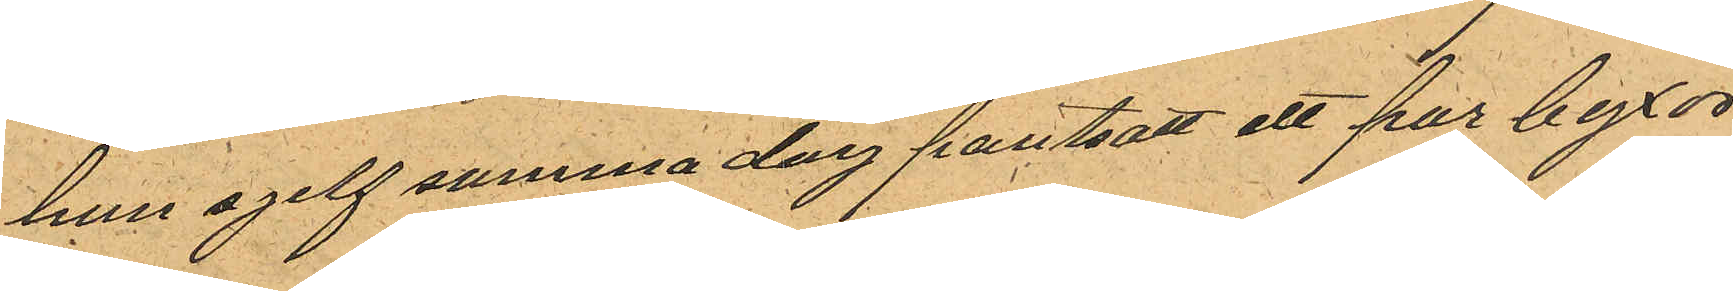han sjelf samma dag pantsatt ett par byxor
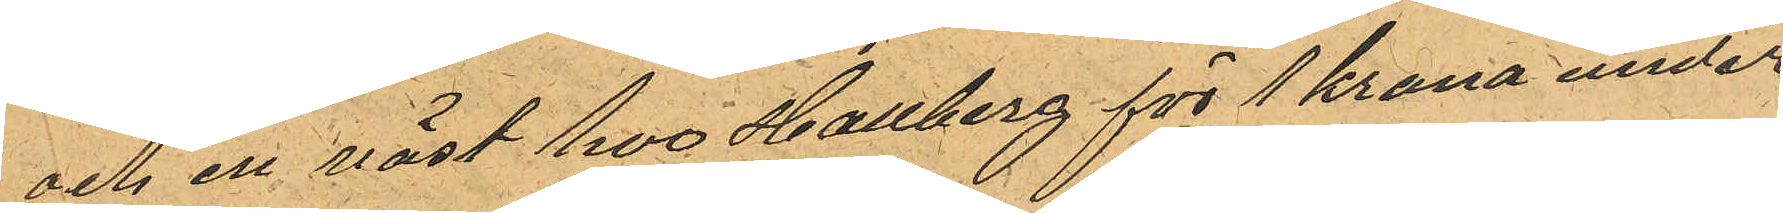och en väst hos Hallberg för 1 krona under
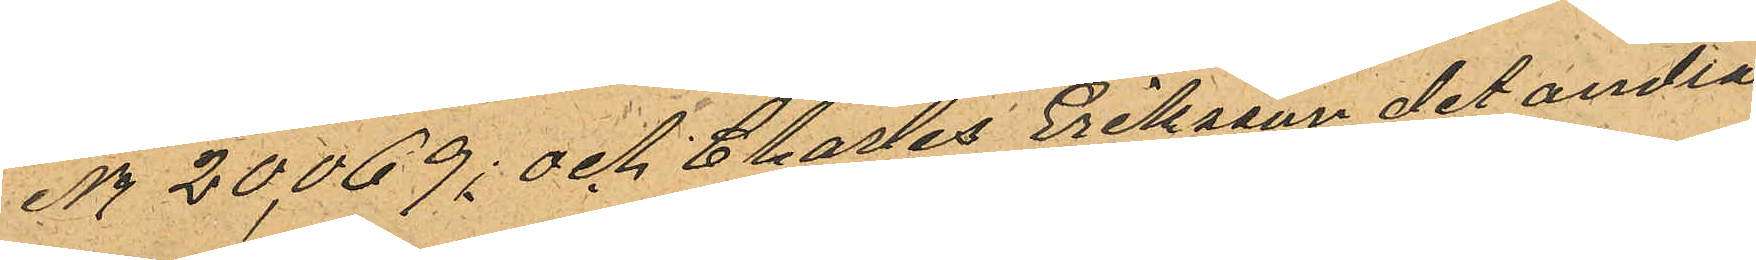No 20,069; och Charles Eriksson det andra
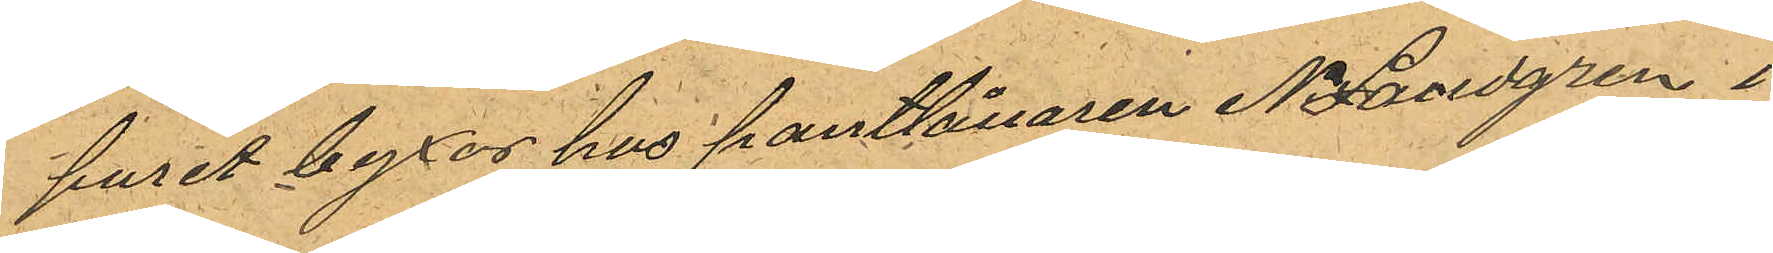puret byxor hus pantlånaren N. Landgren i
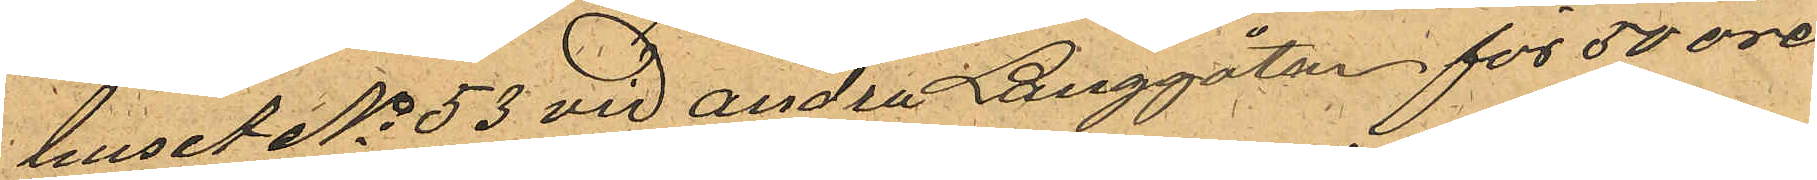huset No 53 vid Andra Långgatan för 50 öre
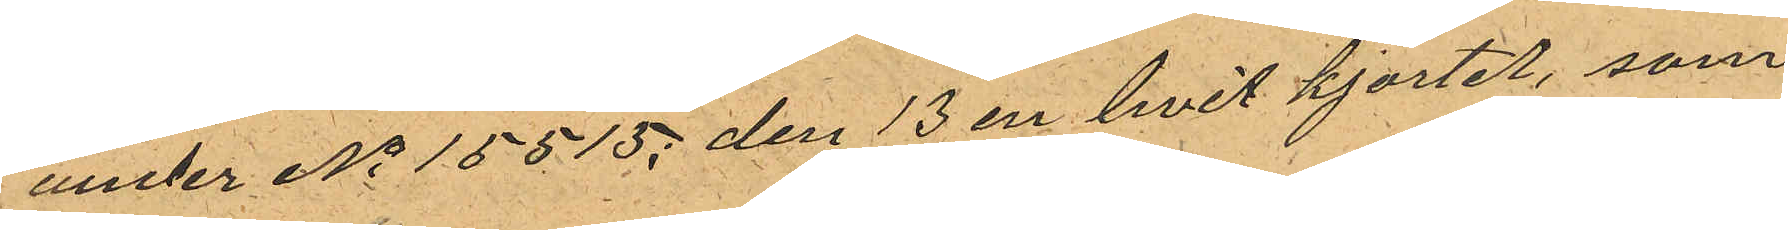under No 15515; den 13 en hvit kjortel, som
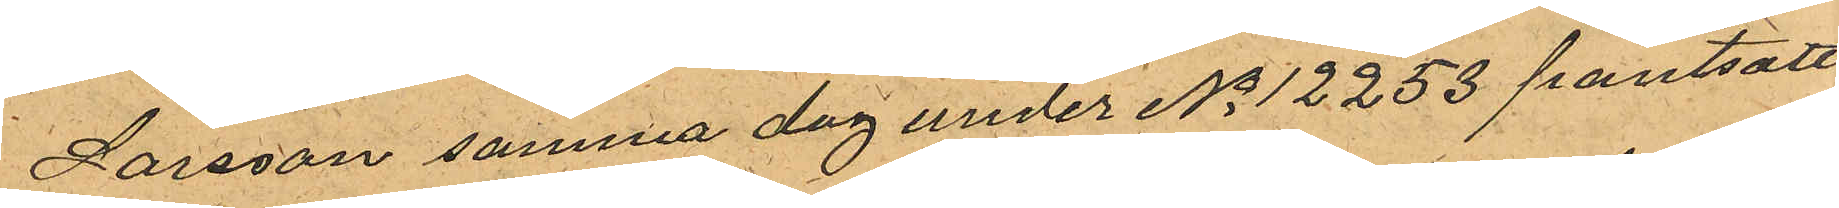Larsson samma dag under No 12253 pantsatt
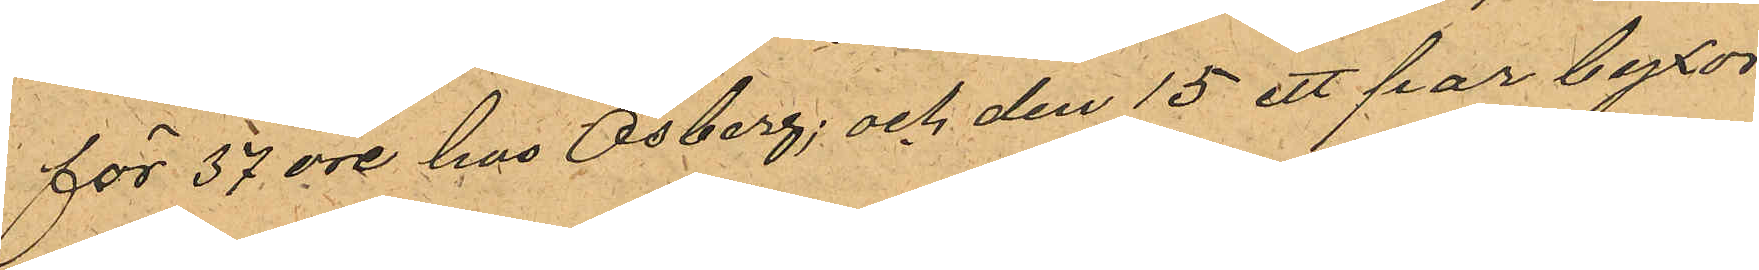för 57 öre hos Osberg; och den 15 ett par byxor,
